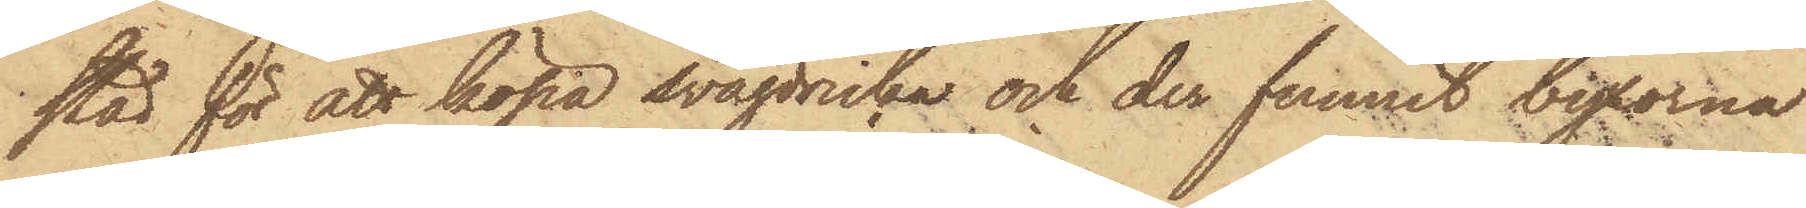stad för att köpa svagdricka och der funnit byxorna
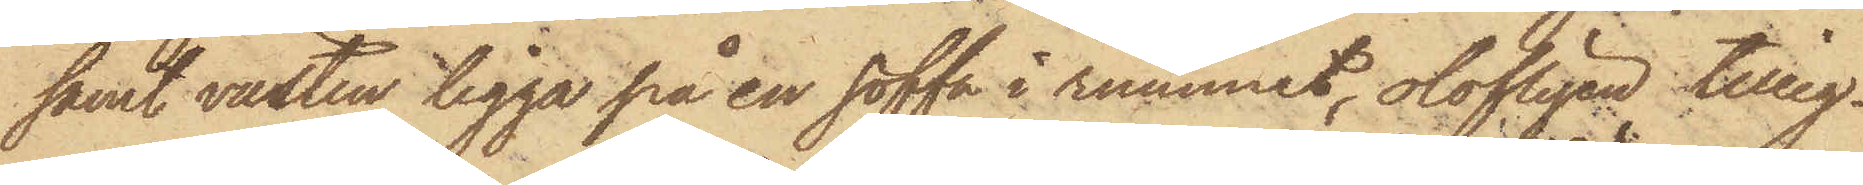samt västen ligga på en soffa i rummet, olofligen tilleg¬
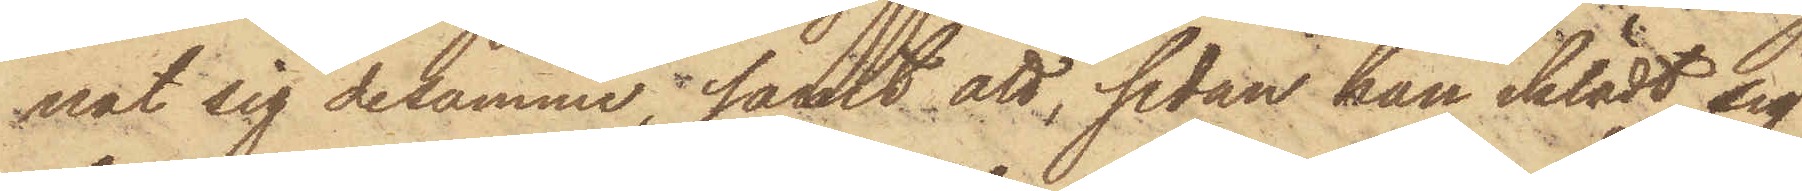nat sig desamme; samt att, sedan han iklädt sig
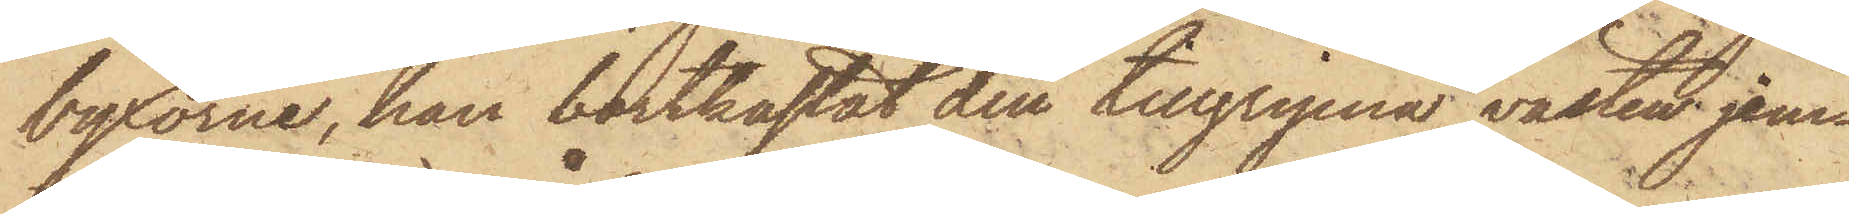byxorna, han bortkastat den tillgripna västen jem¬
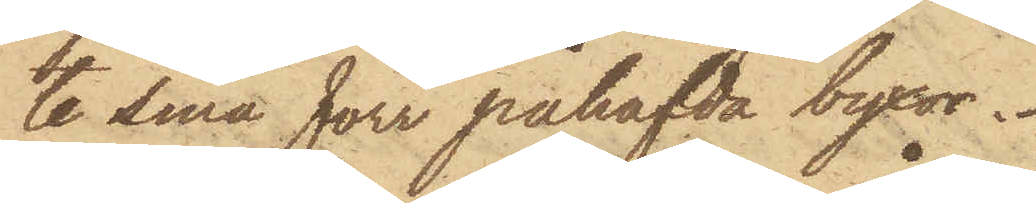te sina förr påhafvda byxor.
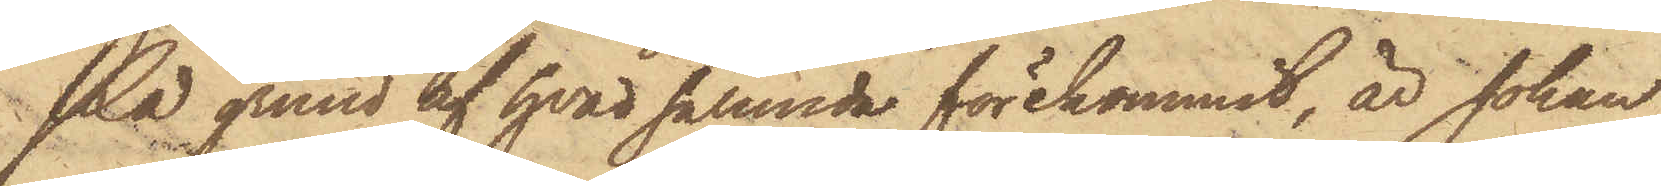På grund af hvad sålunda förekommit, är Johan
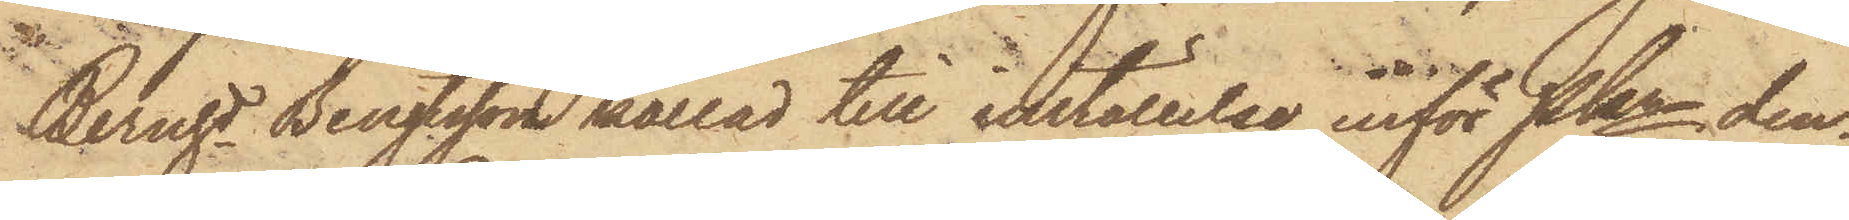Bernhd Bengtsson kallad till inställelse inför Pkn den¬
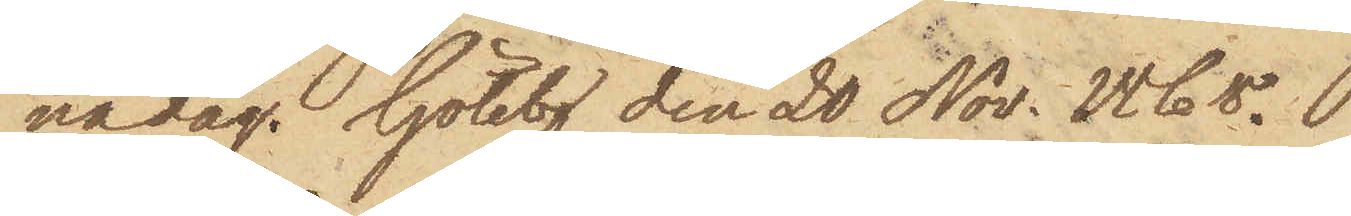nadag. Götebg den 20 Nov. 1868.
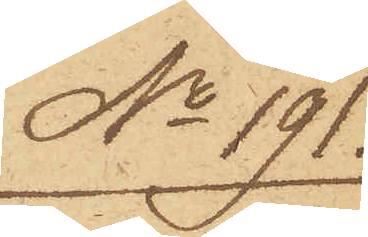No 191.
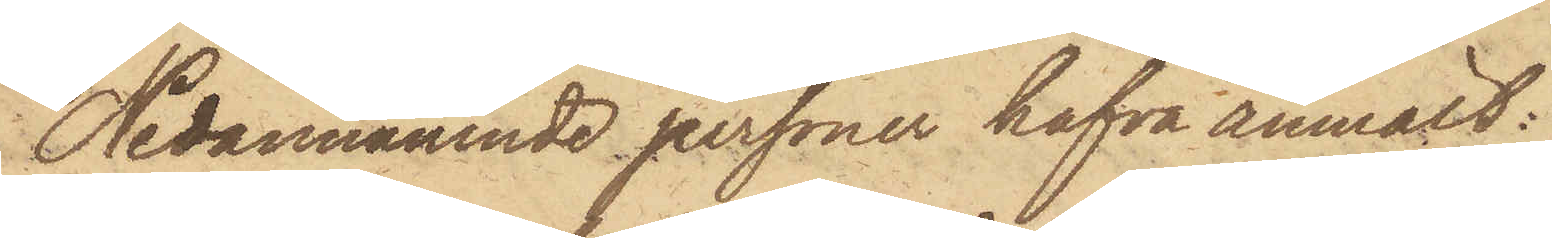Nedannämnde personer hafva anmält:
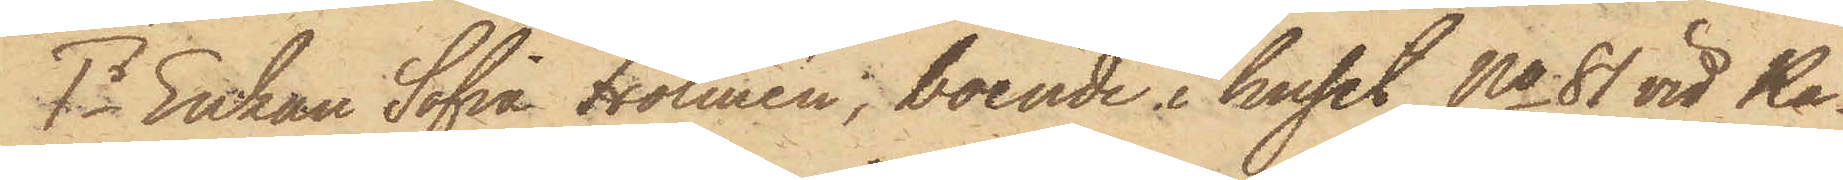1o Enkan Sofia Holmén, boende i huset No 81 vid Ka¬
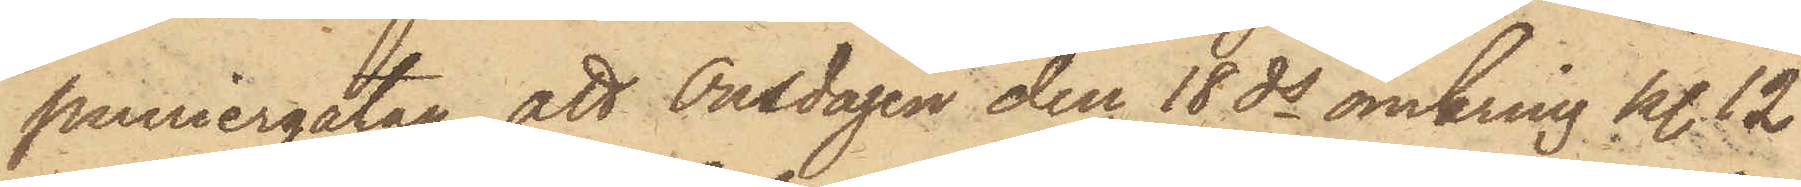puniergatan, att Onsdagen den 18 ds omkring kl. 12
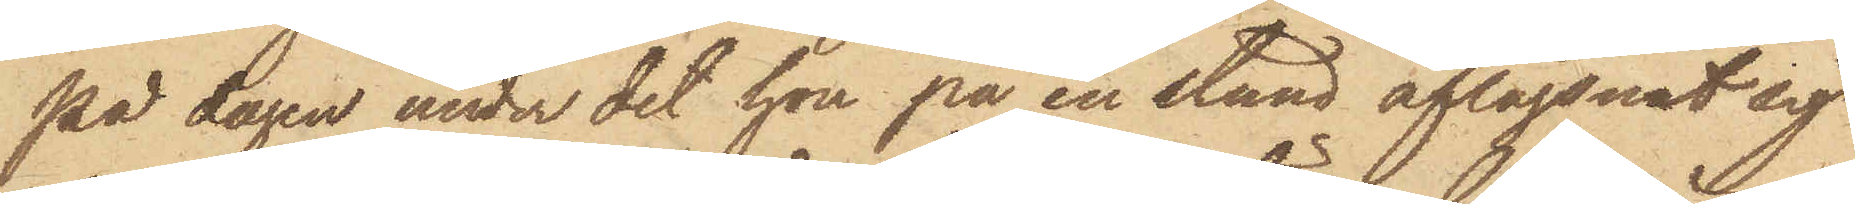på dagen under det hon på en stund aflägsnat sig
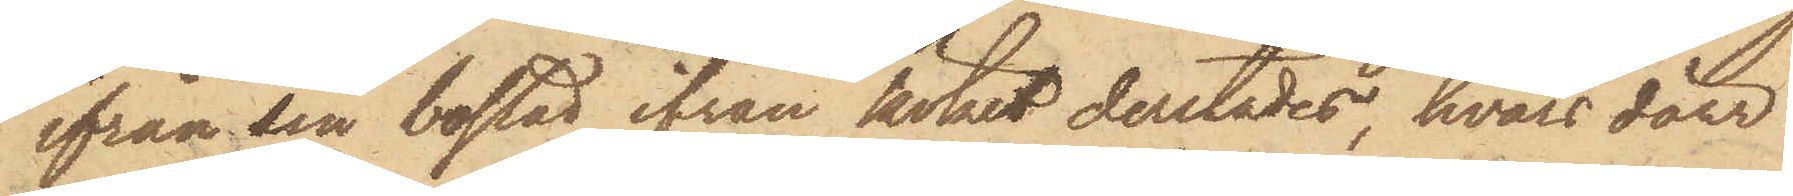ifrån sin bostad, ifrån köket derstädes, hvars dörr
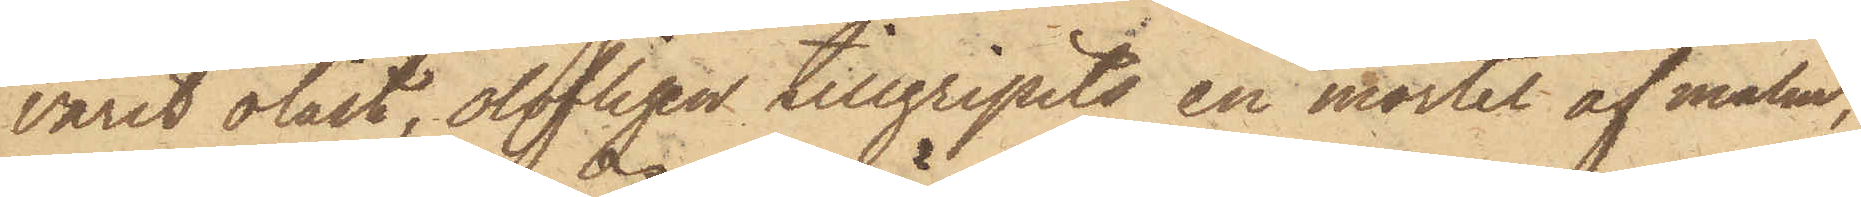varit olåst, olofligen tillgripits en mortel af malm,
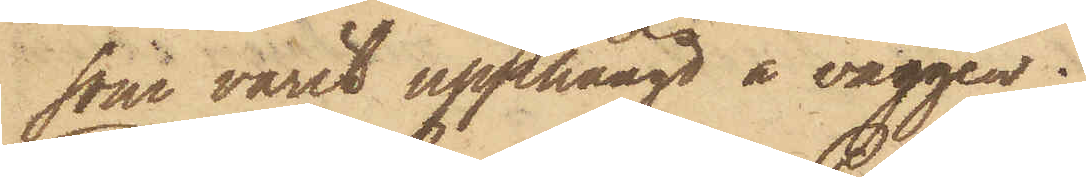som varit upphängd å väggen.
